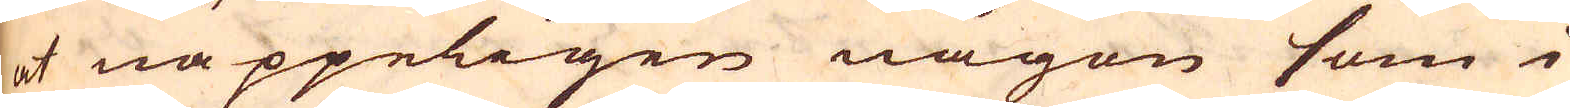at näppeligen någon som i
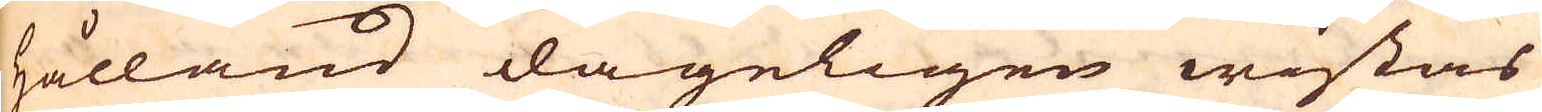Hålland dageligen wistas
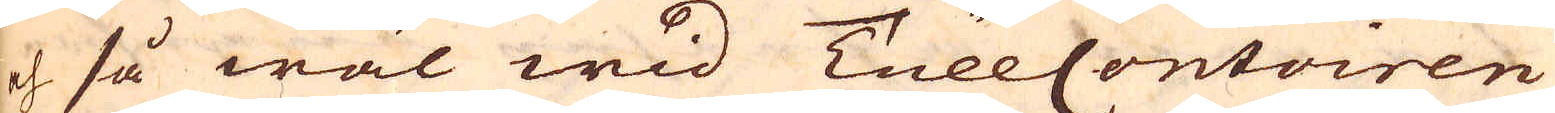och så wäl wid TullContoiren
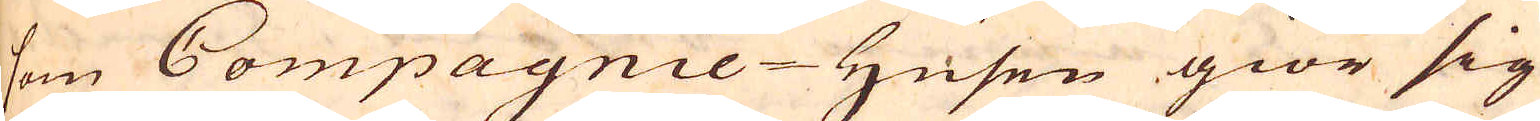som Compagnie-Husen giör sig
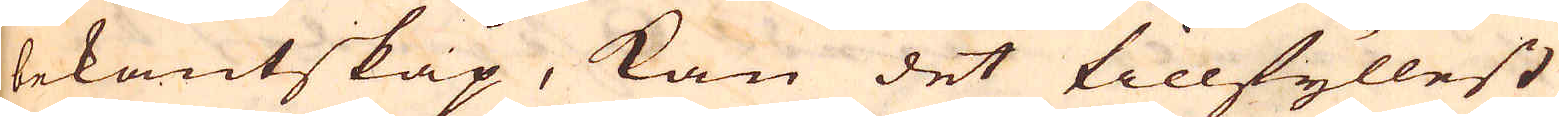bekantskap, kan det tillfyllest
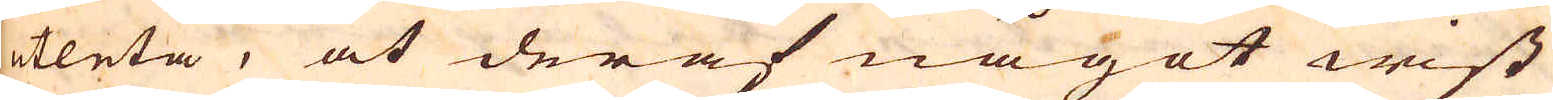utleta, at deraf något wist
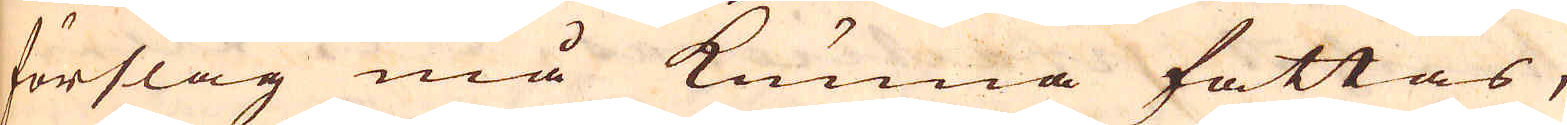förslag må kunna fattas,
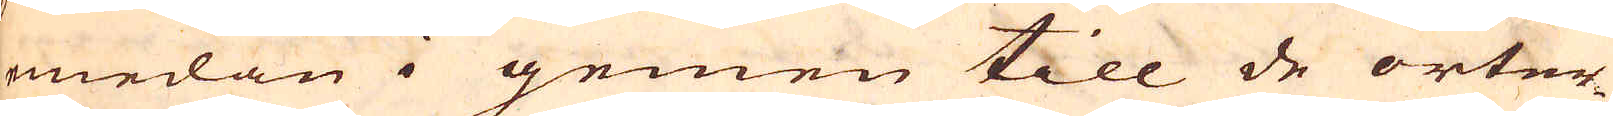medan i gemen till de orter
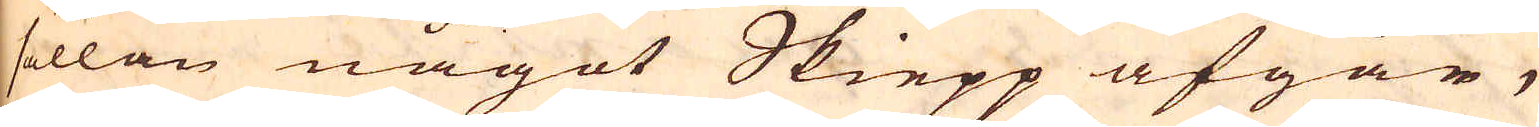sällan något Skiepp afgår,
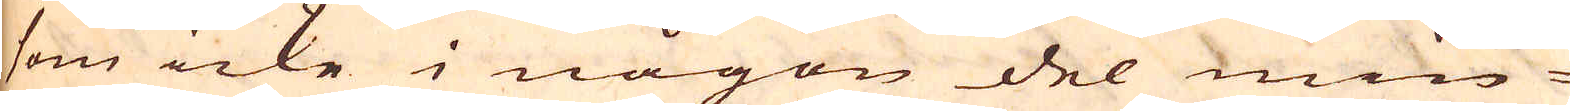som icke i någon del min-
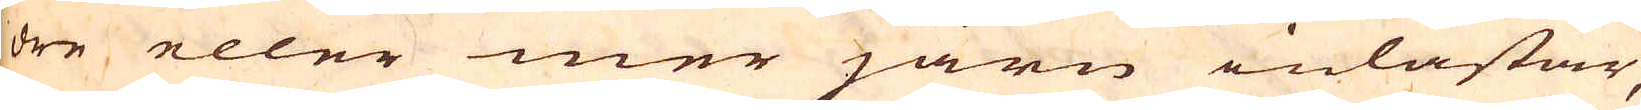dre eller mer järn inlastar,
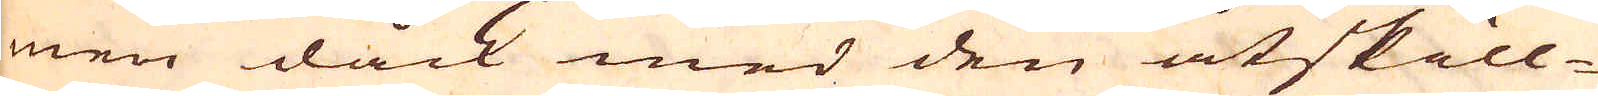men dåck med den åtskill-
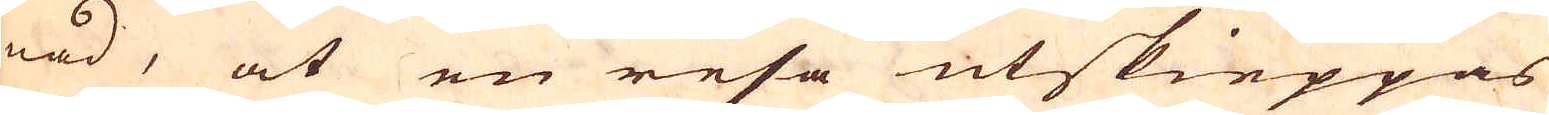nad, at en resa utskieppas
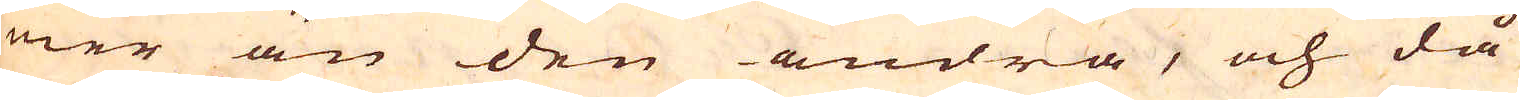mer än den andra, och då
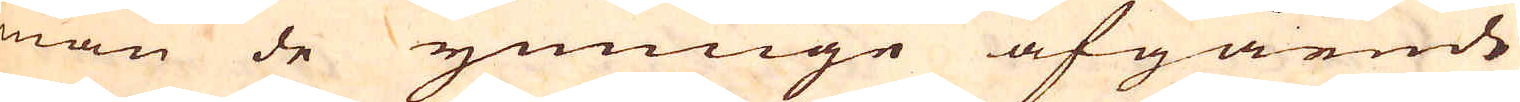man de ymnige afgående
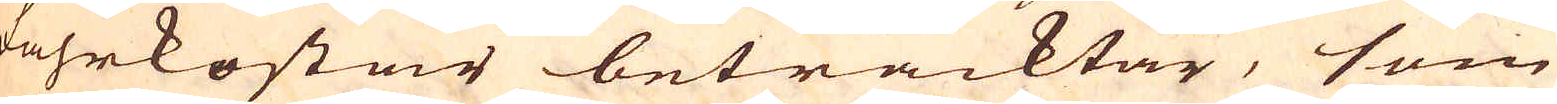fahrkostar betracktar, som
